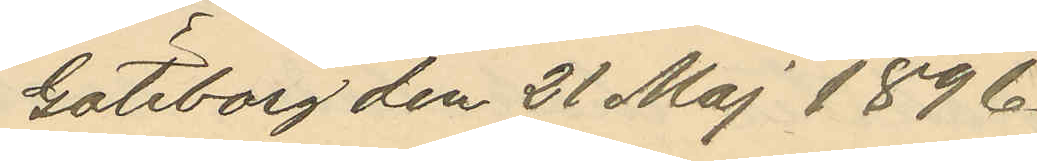Göteborg den 21 Maj 1896.
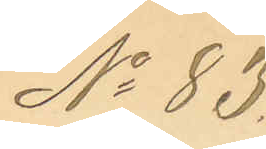No 83.
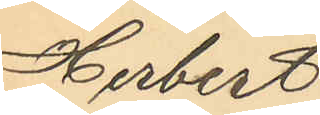Herbert
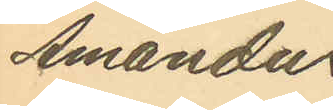Amandus
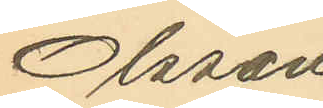Olsson
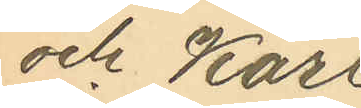och Karl
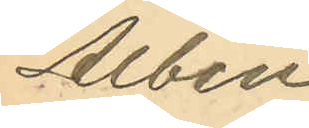Albin
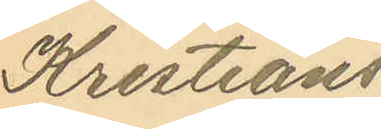Kristians¬
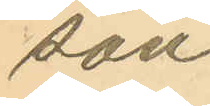son.
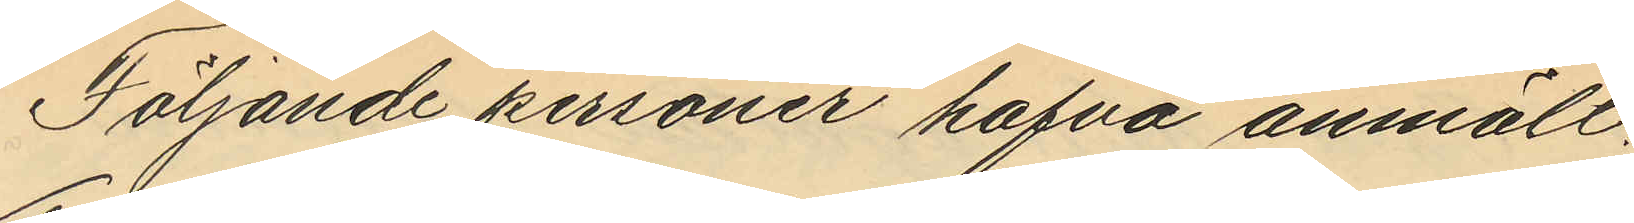Följande personer hafva anmält:
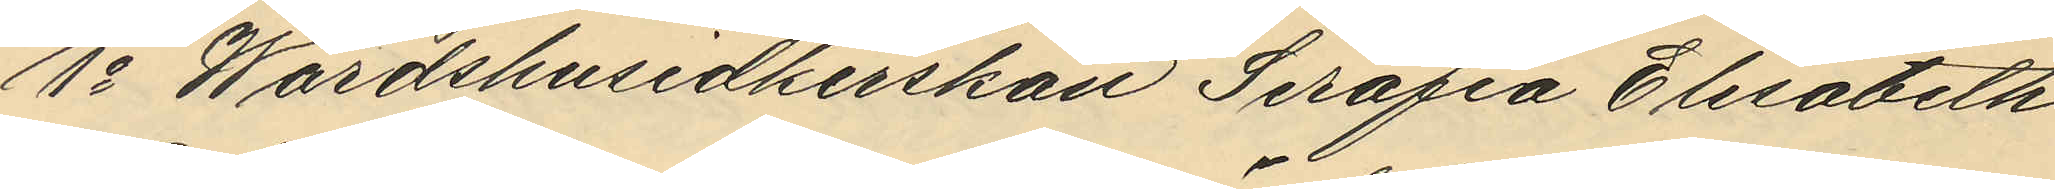1o Wärdshusidkerskan Serafia Elisabeth
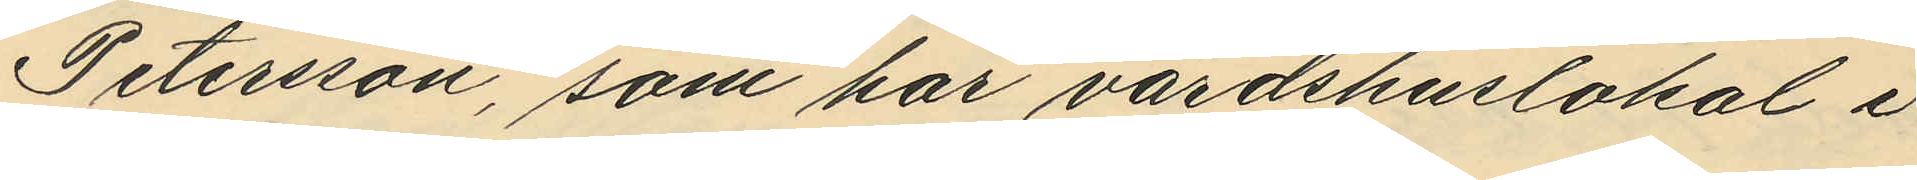Petersson, som har värdshuslokal i
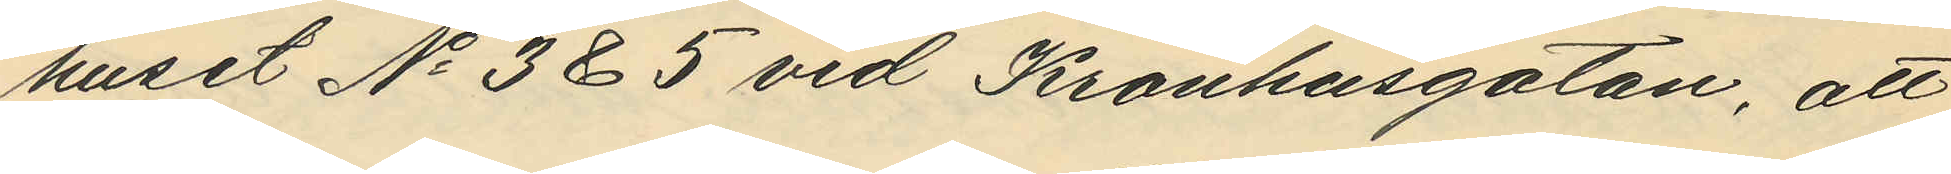huset No 3 & 5 vid Kronhusgatan, att
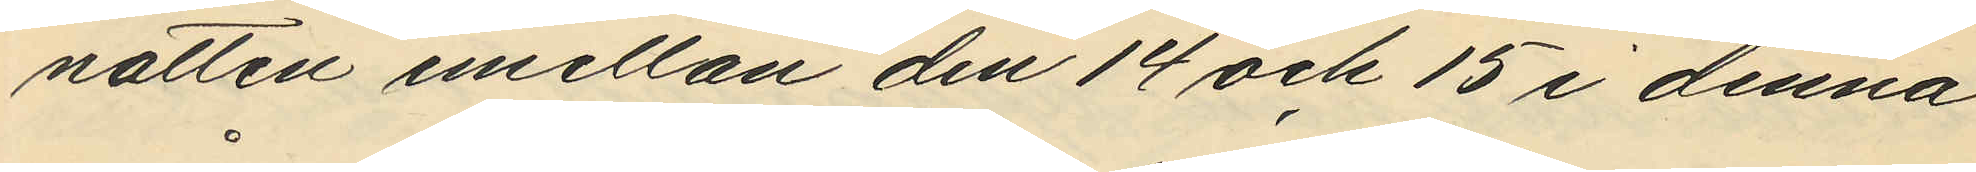natten emellan den 14 och 15 i denna
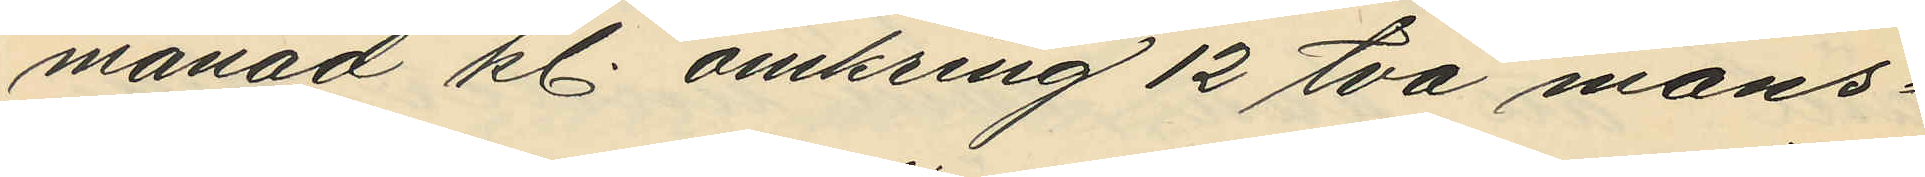månad kl. omkring 12 två mans¬
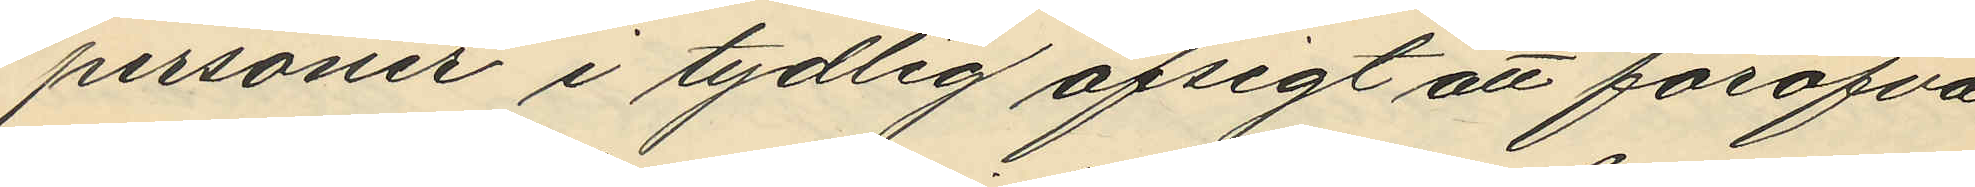personer i tydlig afsigt att föröfva
